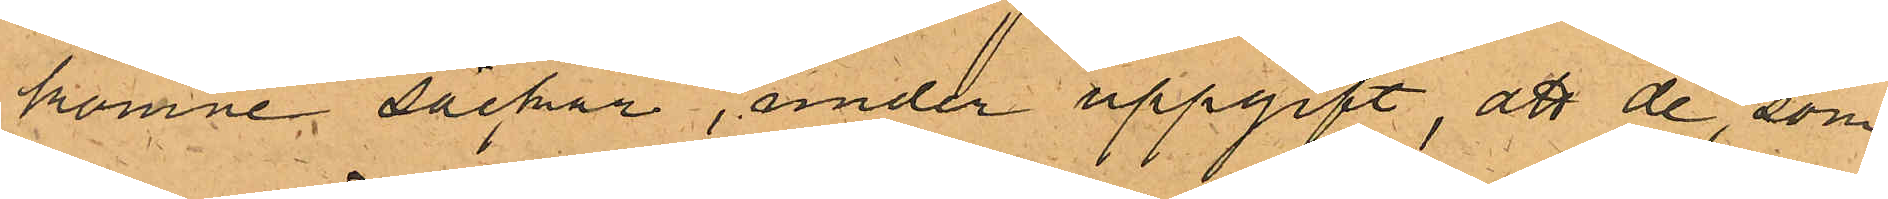komne säckar, under uppgift, att de, som
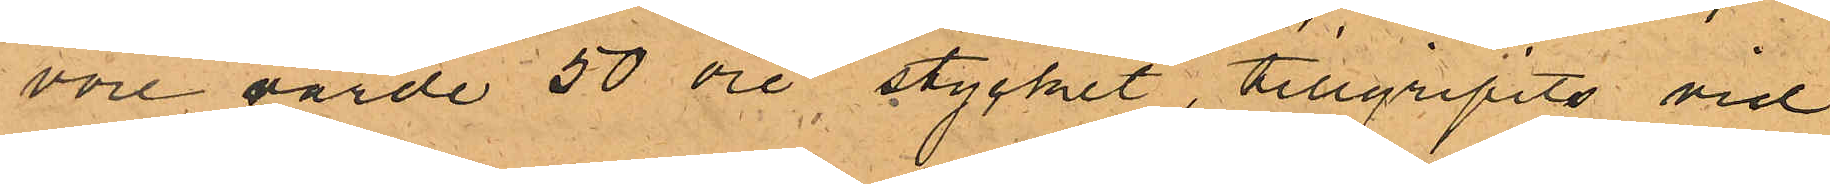vore värde 50 öre stycket, tillgripits vid
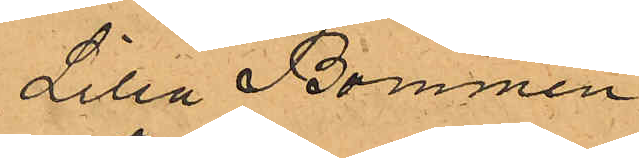Lilla Bommen.
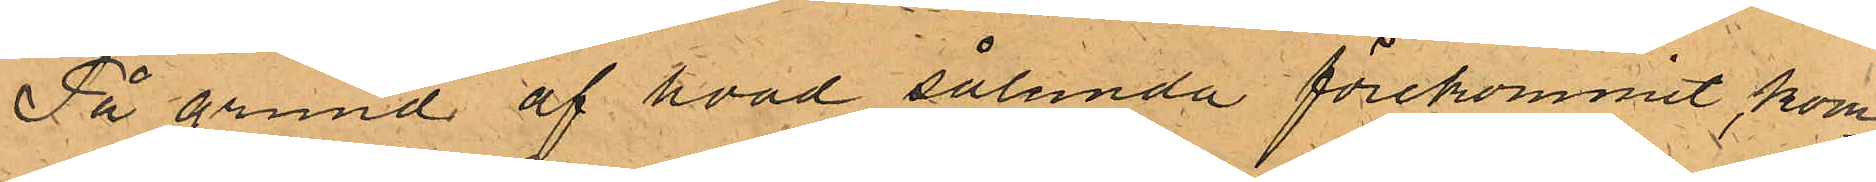På grund af hvad sålunda förekommit kom¬
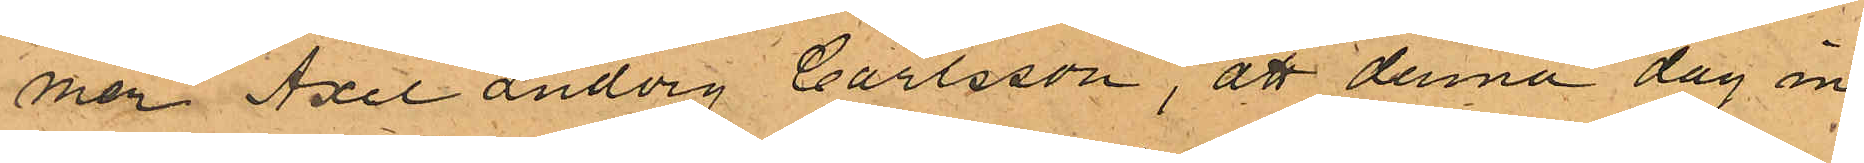men Axel Ludvig Carlsson, att denna dag in¬
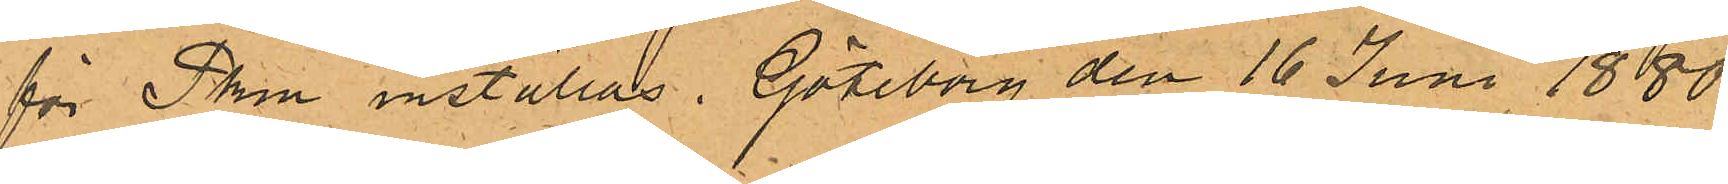för Pken inställas. Göteborg den 16 Juni 1880.
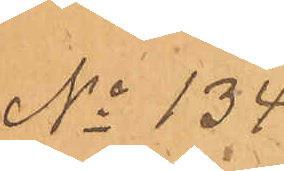No 134.
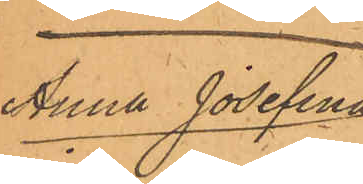Anna Josefina
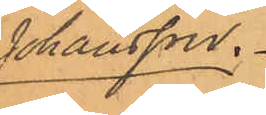Johansson.
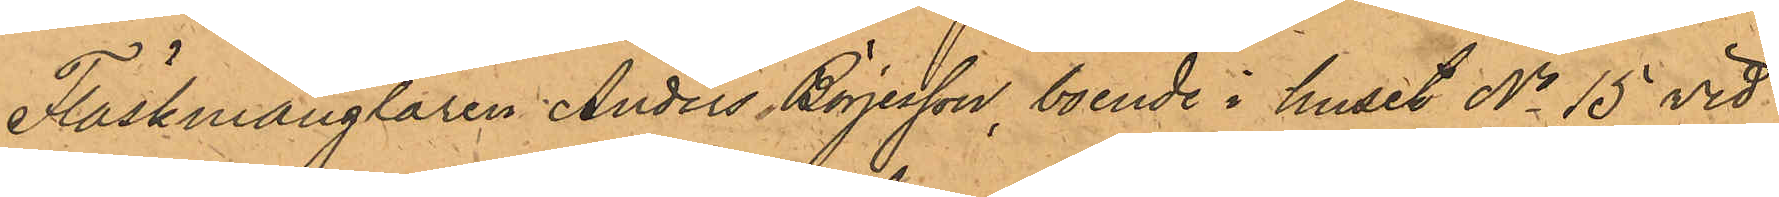Fläskmånglaren Anders Börjesson, boende i huset No 15 vid
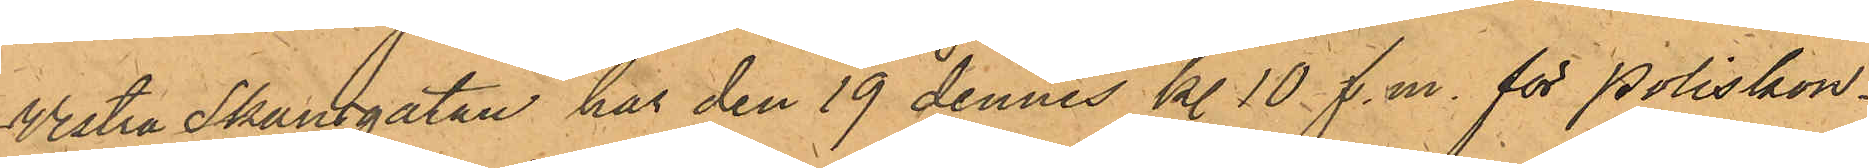Vestra Skansgatan har den 19 dennes kl. 10 f.m. för Poliskon¬
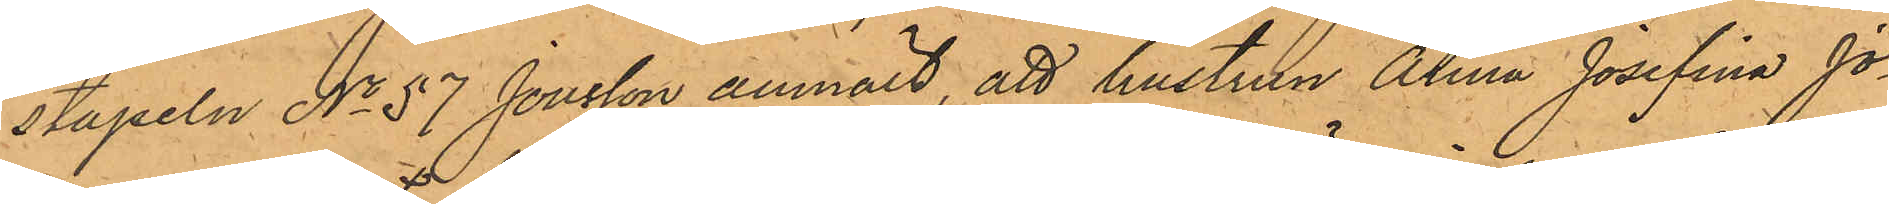stapeln No 57 Jonsson anmält, att hustrun Anna Josefina Jo¬
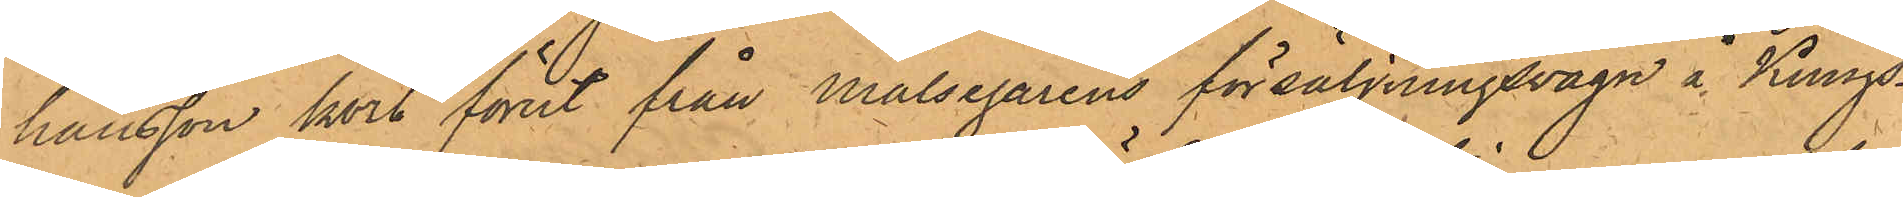hansson kort förut från Målsegarens försäljningsvagn å Kungs¬
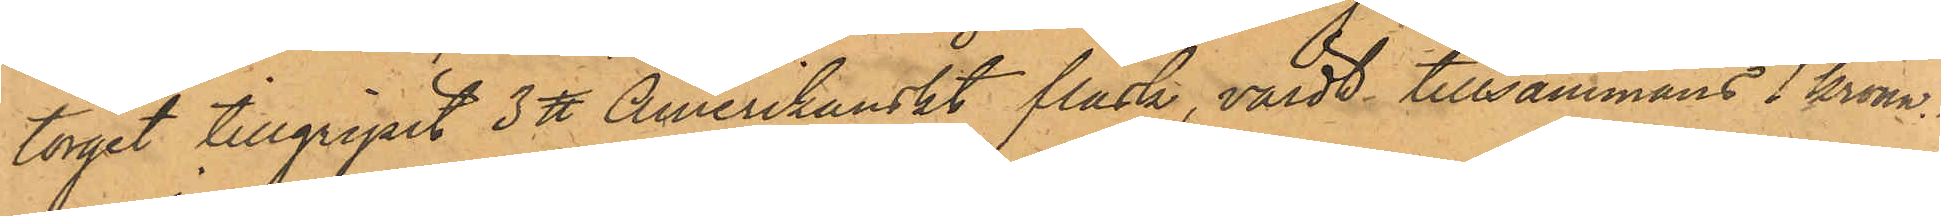torget tillgripit 3 ℔ Amerikanskt fläsk, värdt tillsammans 1 krona.
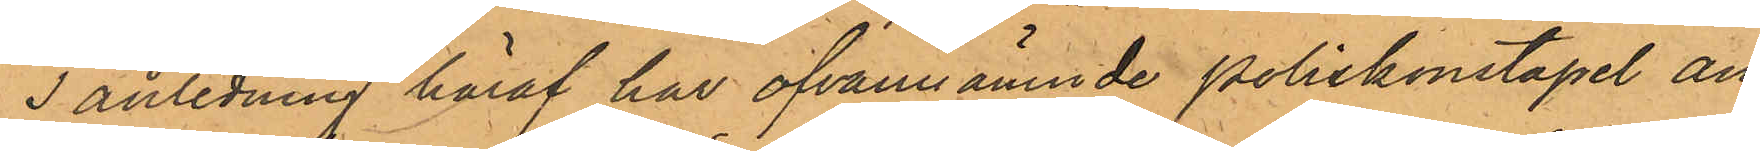I anledning häraf har ofvannämnde poliskonstapel an¬
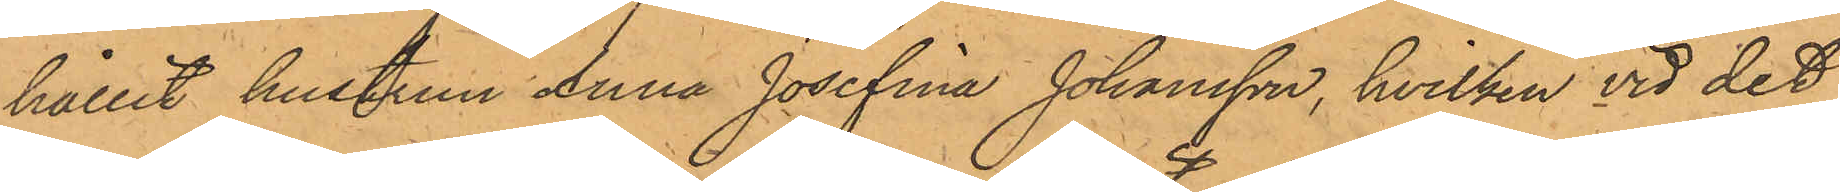hållit hustrun Anna Josefina Johansson, hvilken vid det
